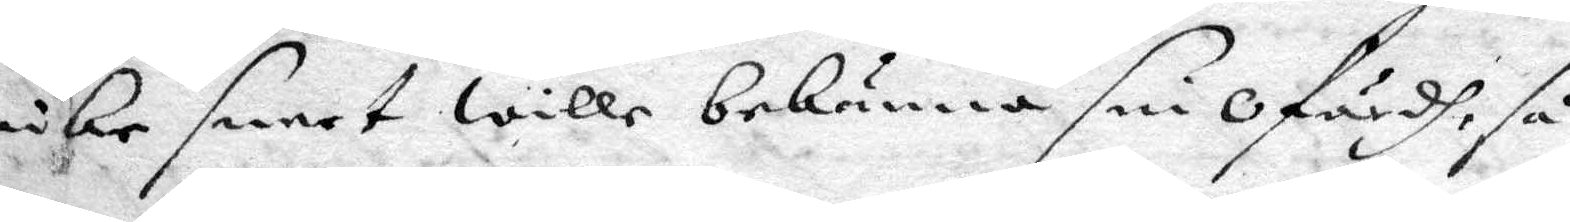icke snart wille bekänna sin ofärdh, så
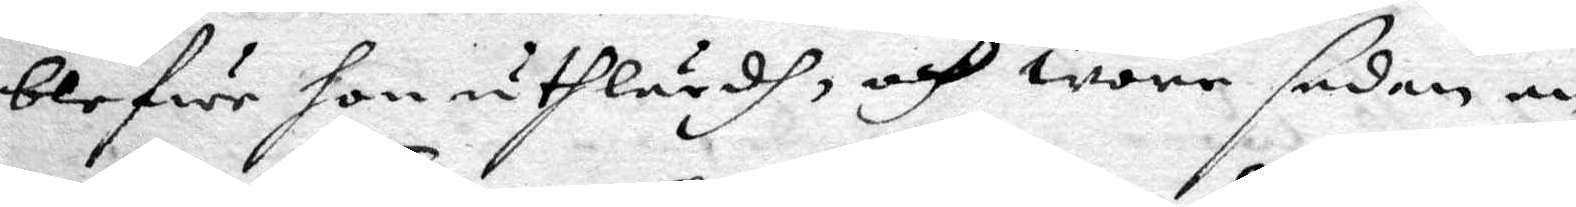blefwe hon uthlärdh, och wore sedan en
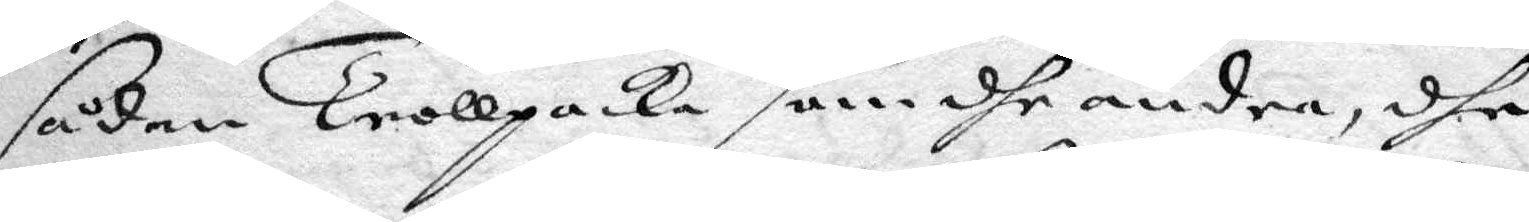sådan Trollpacka som dhe andra, dhe
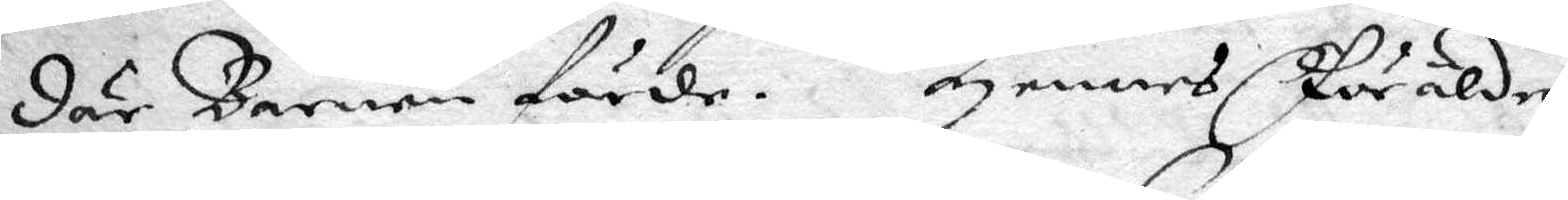där Barnen förde. Hennes Föräldrar
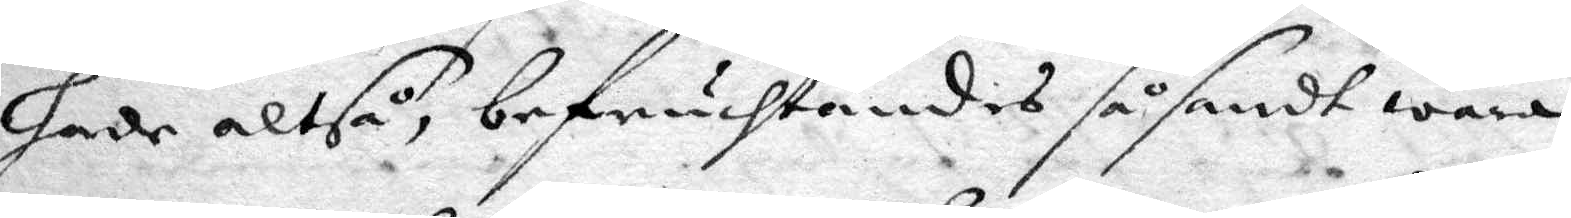hade altså, bebruchtandes såsant wara
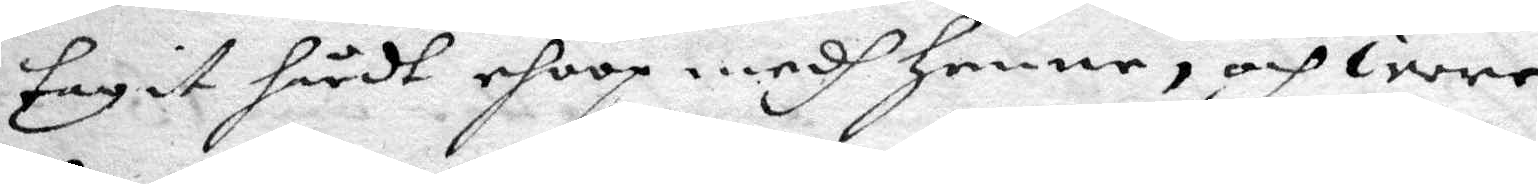tagit håtdt ehoop medh henne, och wore
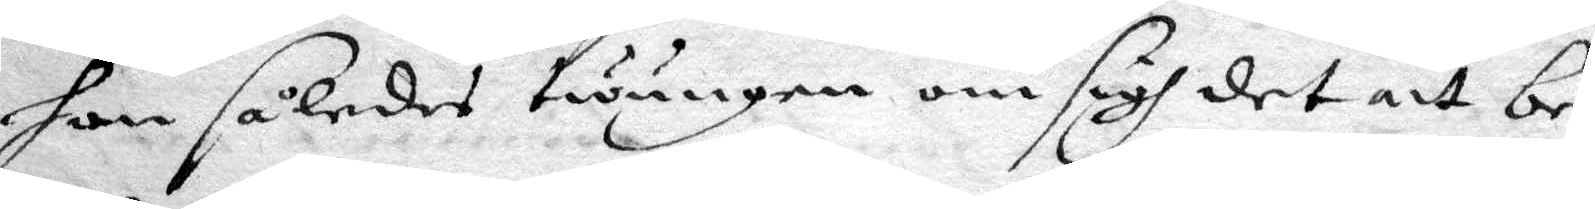hon således twungen om sigh det att be¬
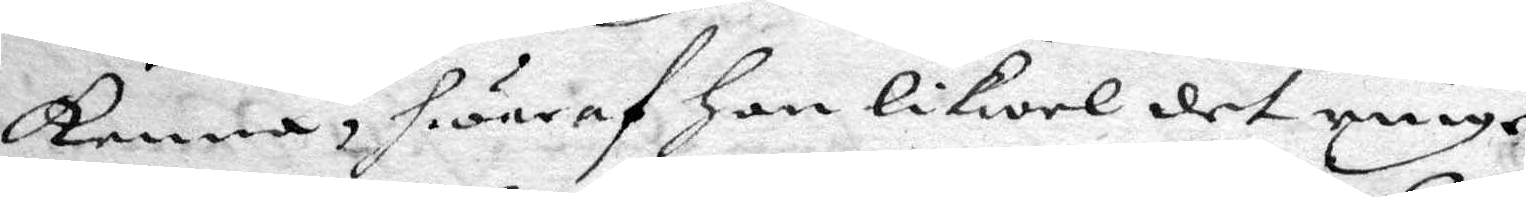kenna, hwaraf hon likwäl det ringe¬
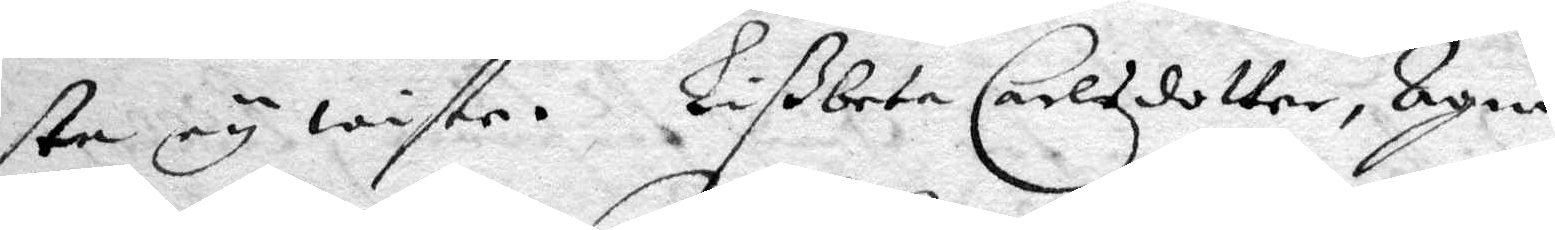ste ey wiste. Lißbeta Carlsdotter, Agnis
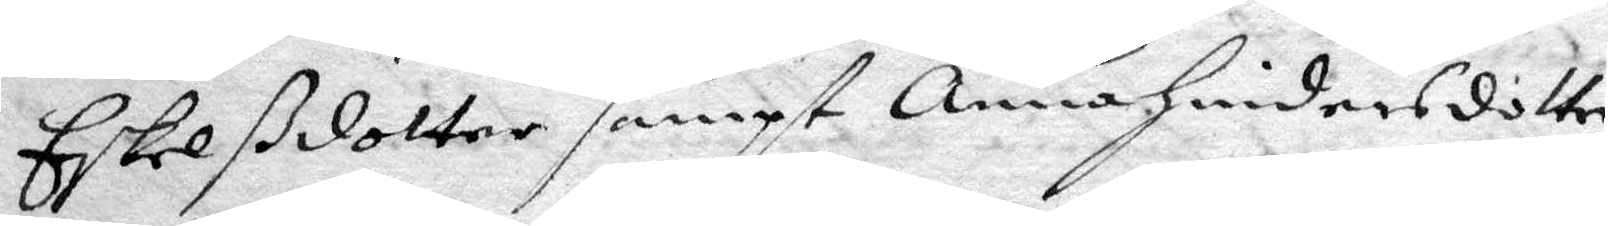Eskelßdotter sampt Anna hindersdotter
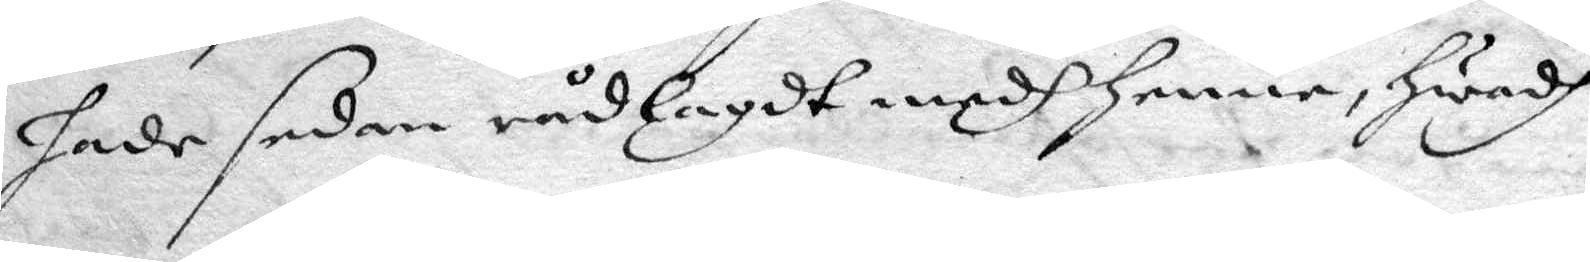hade sedan rådlagdt medh henne, hwadh
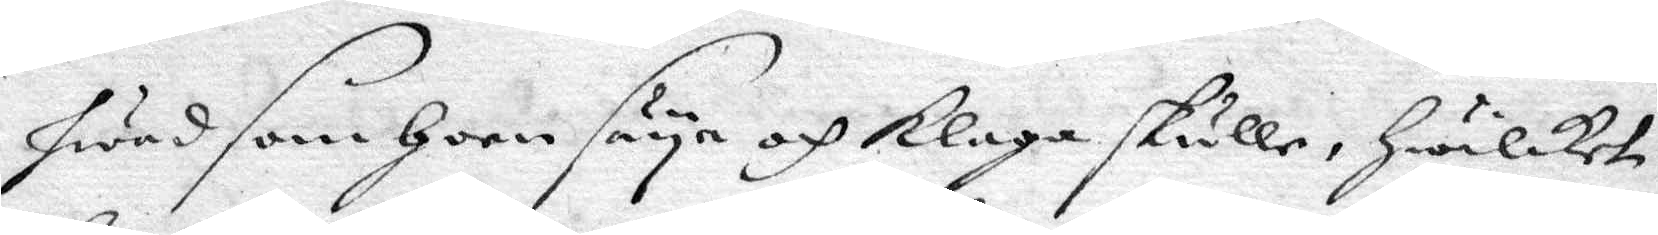hwad som hon säya och klaga skulle,hwilket
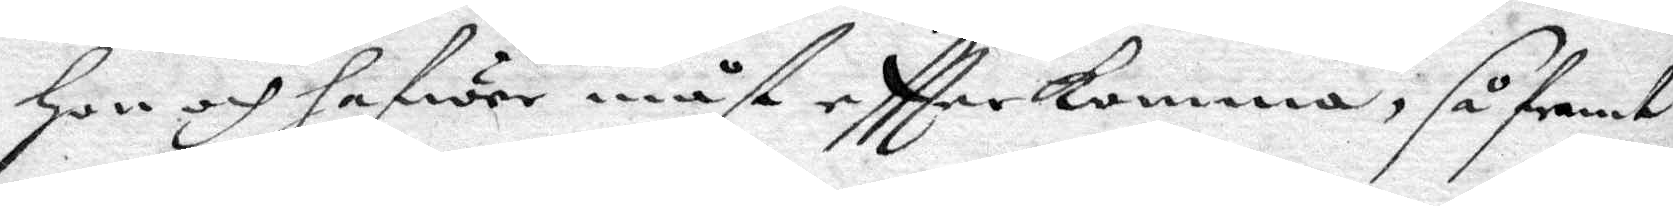hon och hafwer måst eftterkomma, så framt
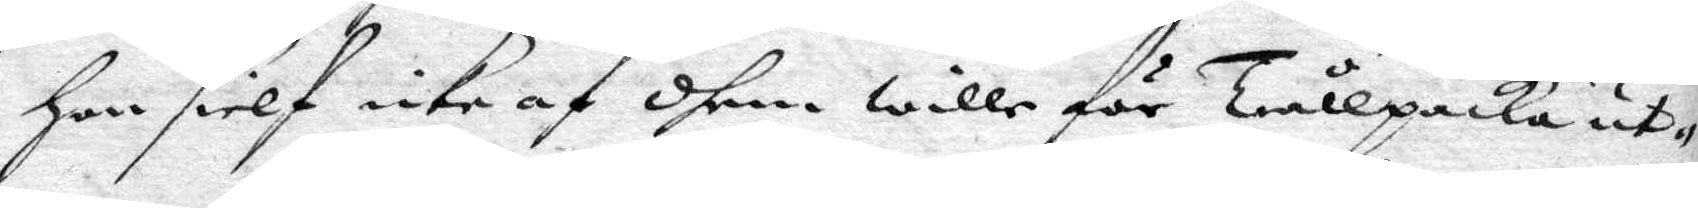hon sielf icke af dhem wille för trullpcka ut¬
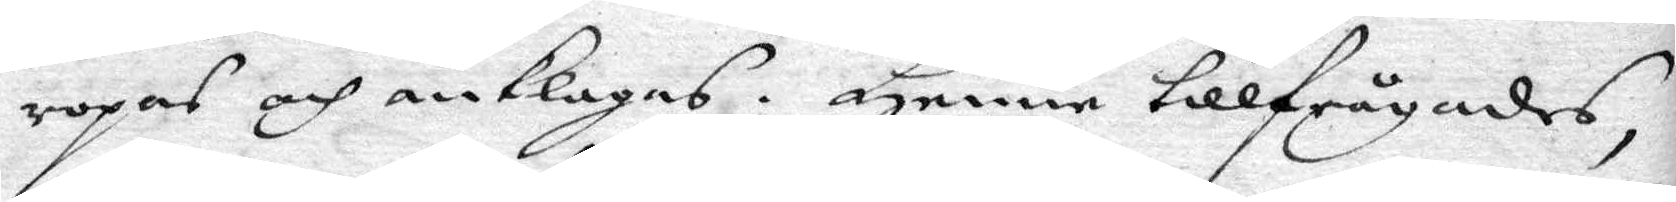ropas och anklagas. Henne tillfrågades,
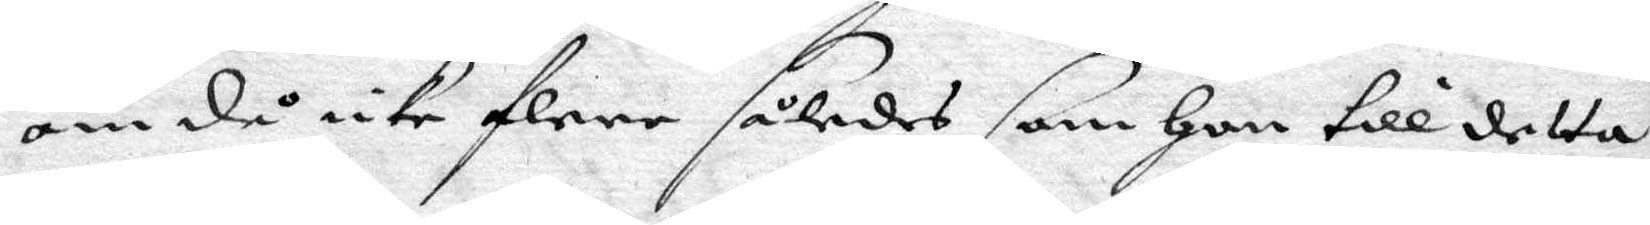om då icke flere således som on till detta
